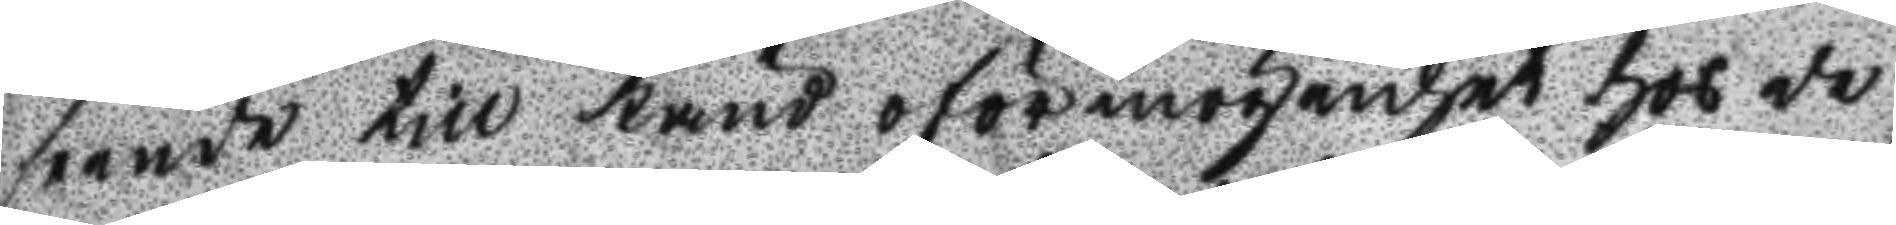seende till känd oförmögenhet hos de
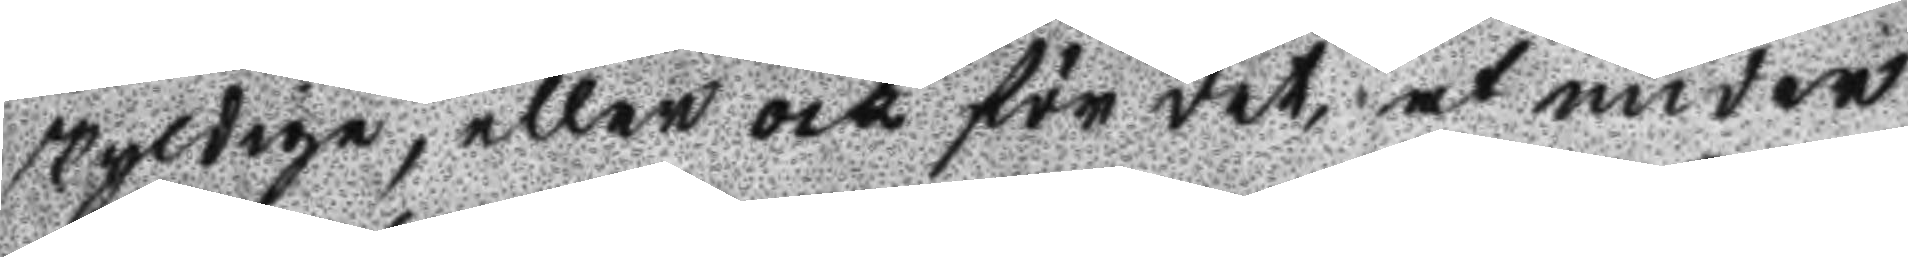skyldige, eller och för det, at under
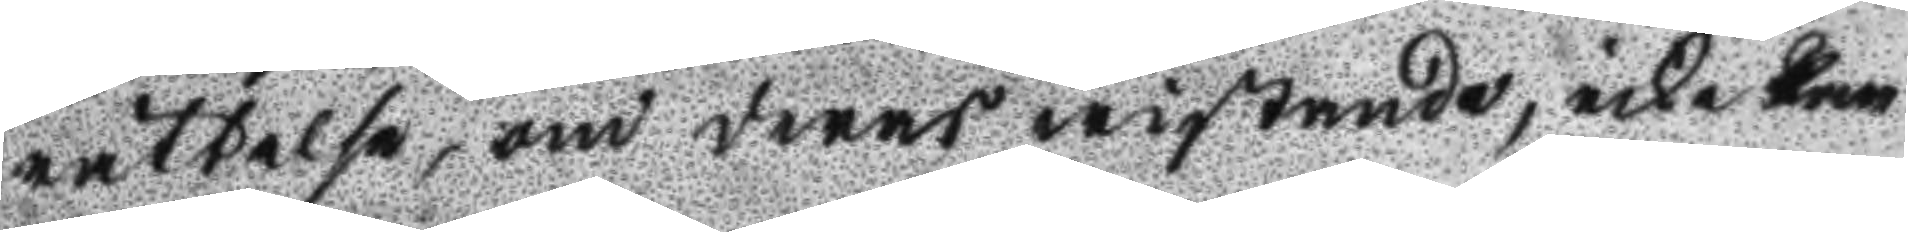rättelse, om deras wistande, icke kan
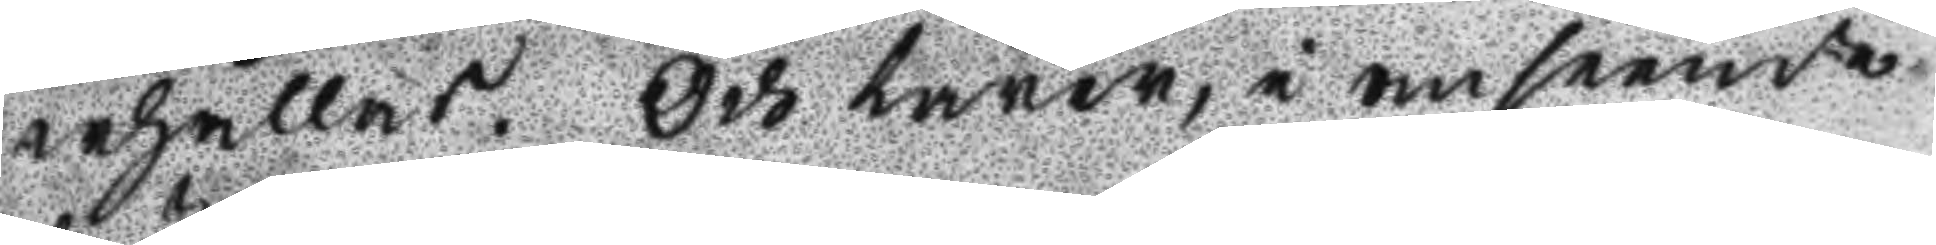erhållas. Och lärer, i anseende
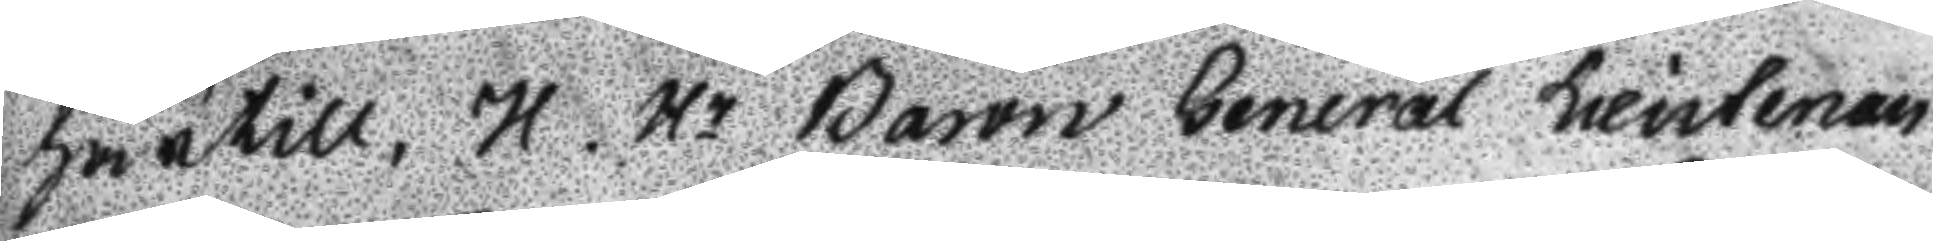härtill, H. Hr Baron General Lieutenan
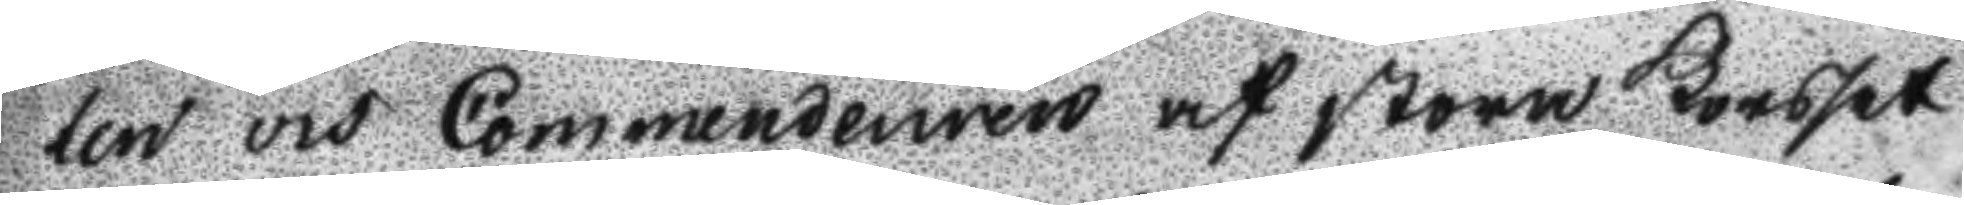ten vid Commendeuren af stora Korset
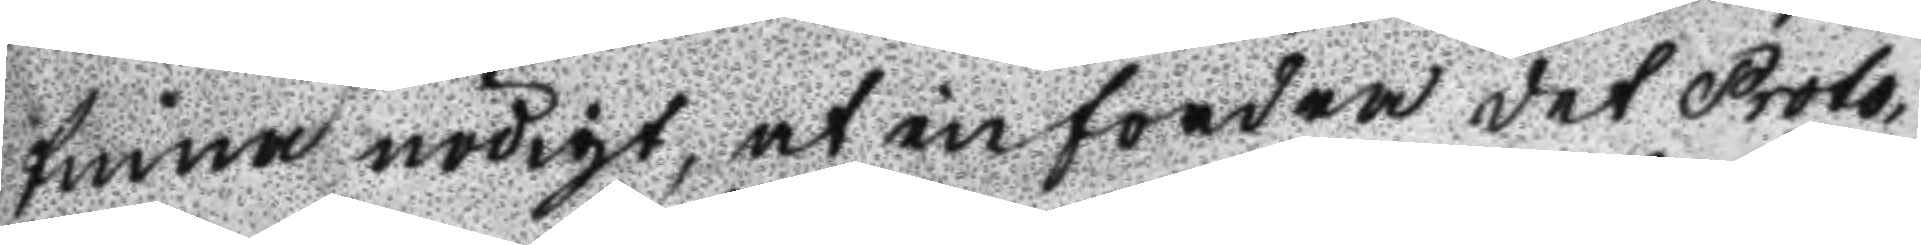finna nödigt, at infordra det Proto¬
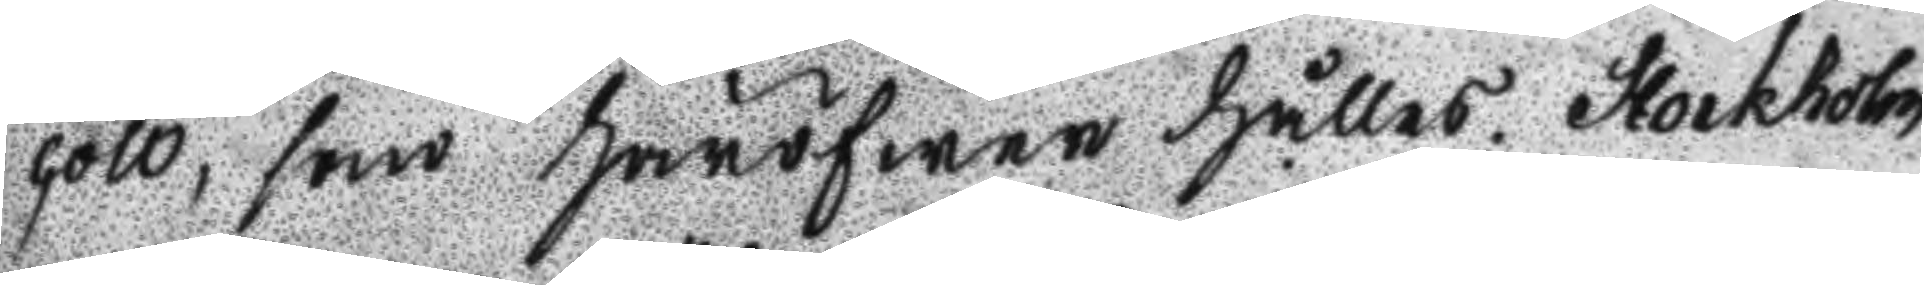coll, som häröfwer hålles. Stockholm
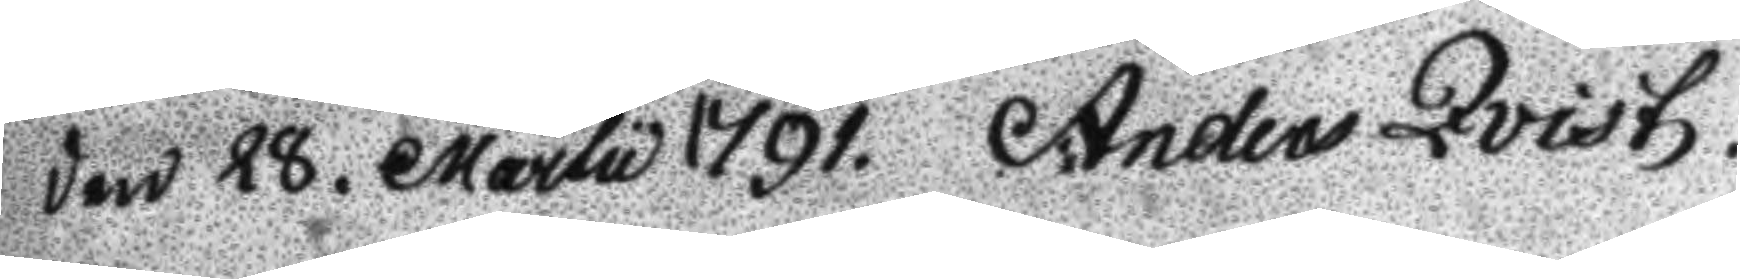den 28. Martu 1791. Anders Qvist.
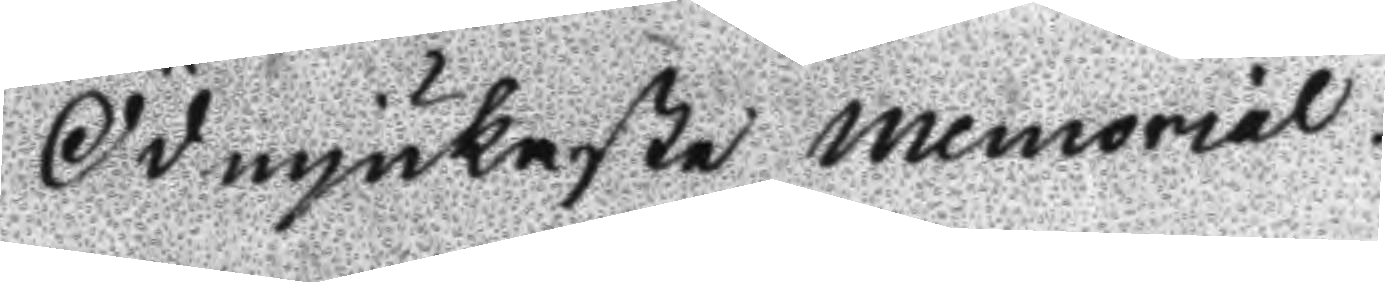Ödmjukaste memorial.
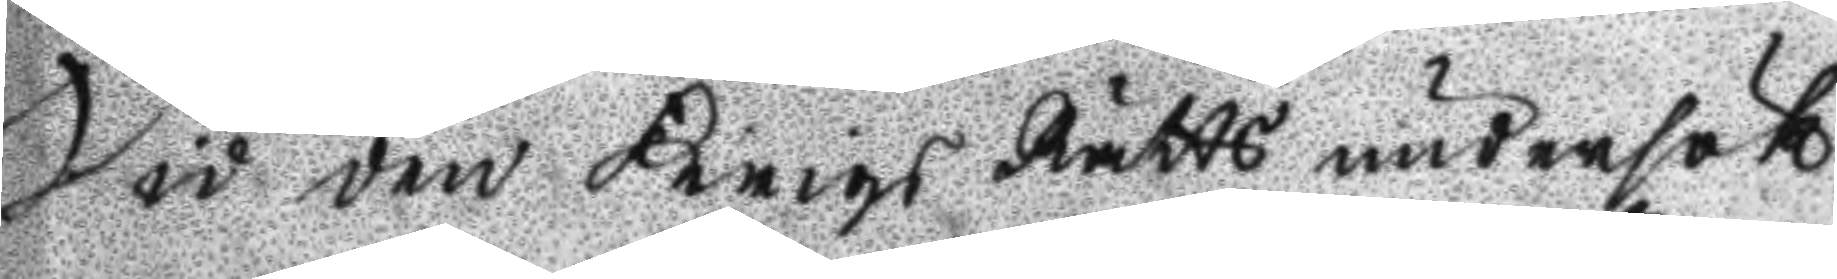Vid den Krigs Rätts undersök¬
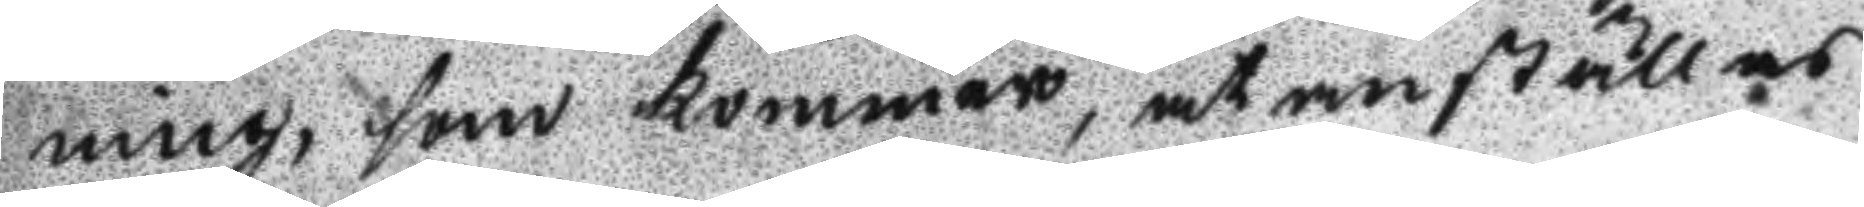ning, som kommer, at anställas
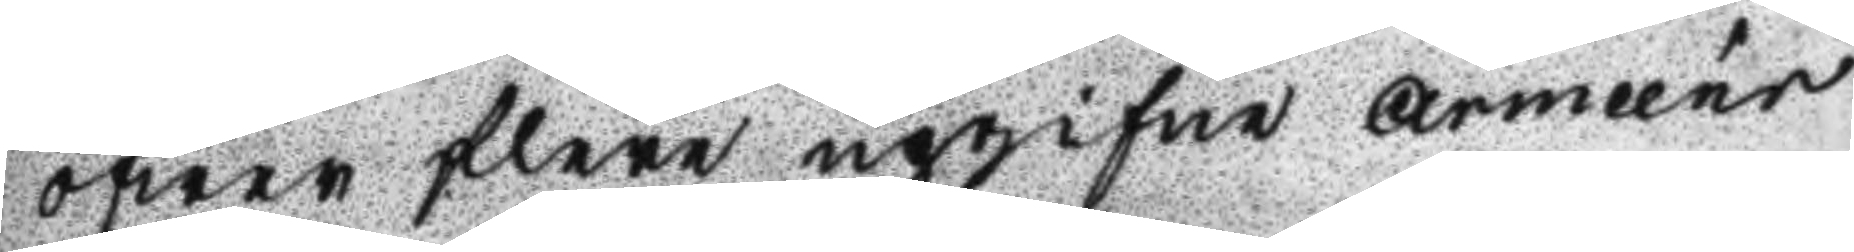öfwer flere upgifne Armeér
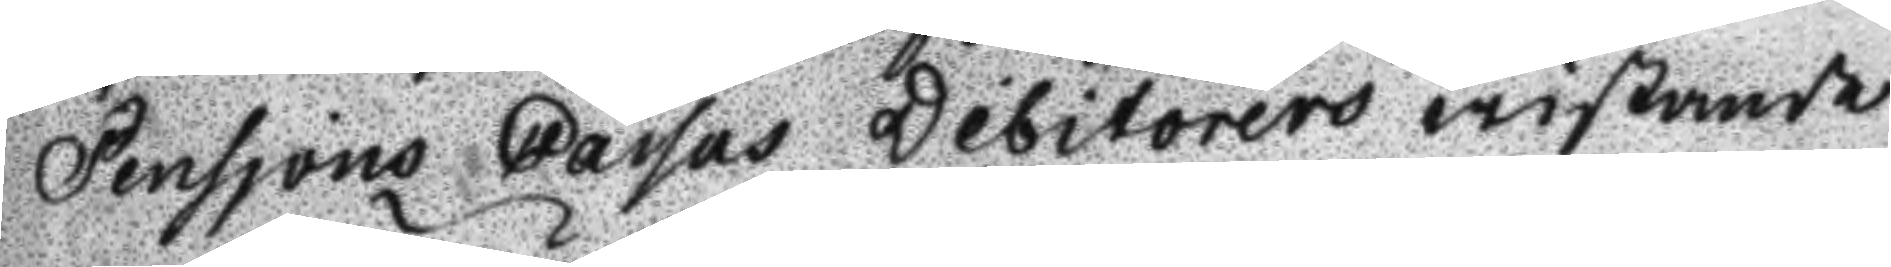pensjons cassas Debitores wistande
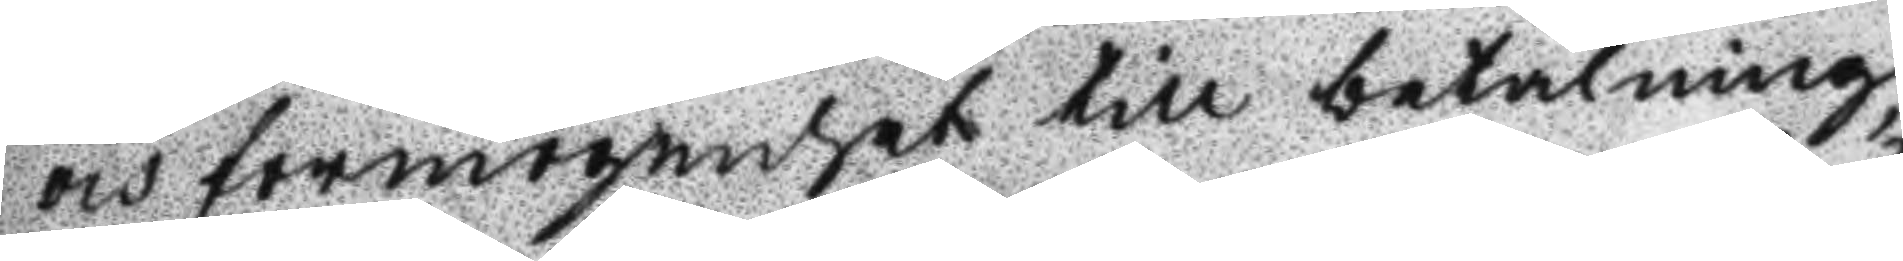och förmögenhet till betalning,
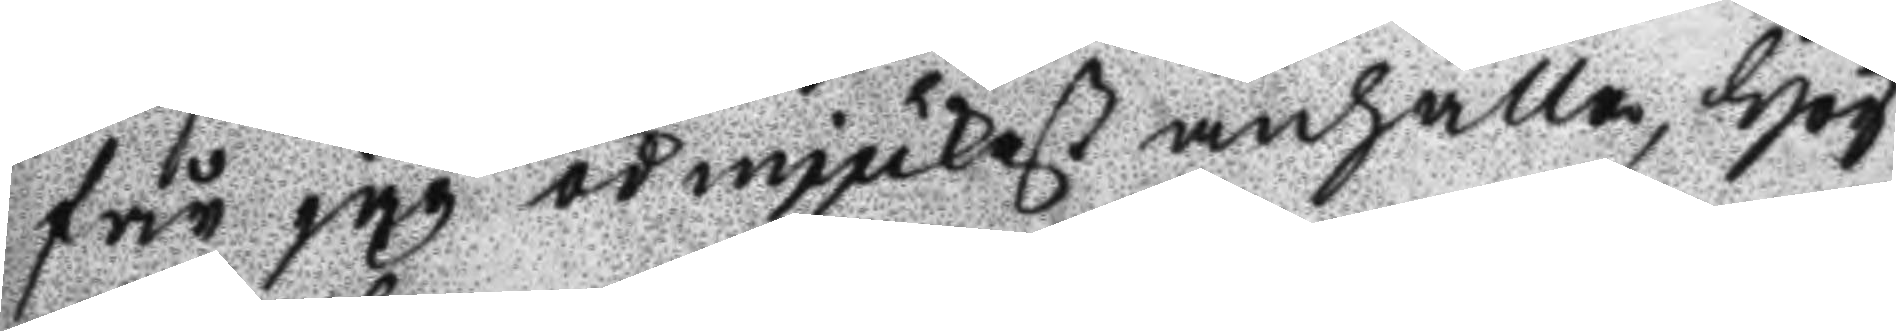får jag ödmjukast anhålla, hög
